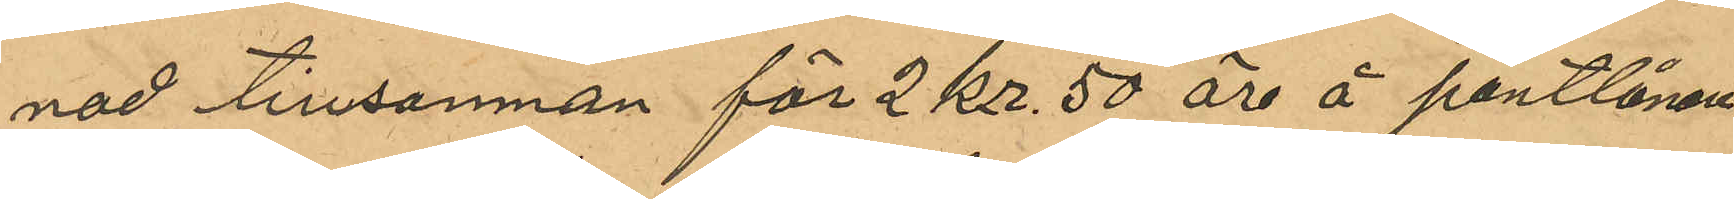nad tillsamman för 2 Kr. 50 öre å pantlånaren
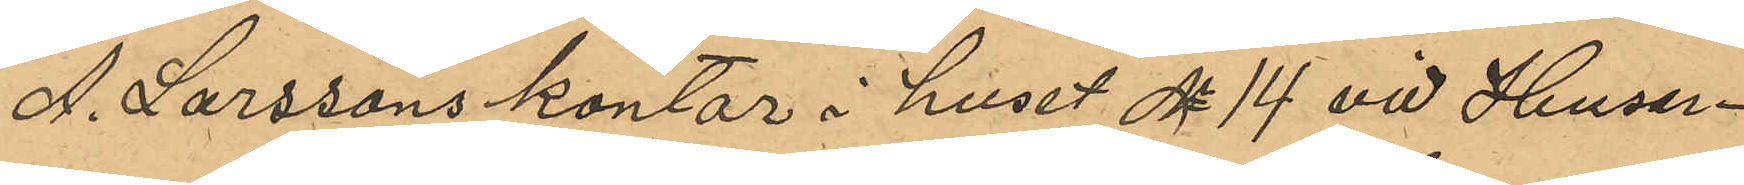A. Larssons kontor i huset No 14 vid Husar¬
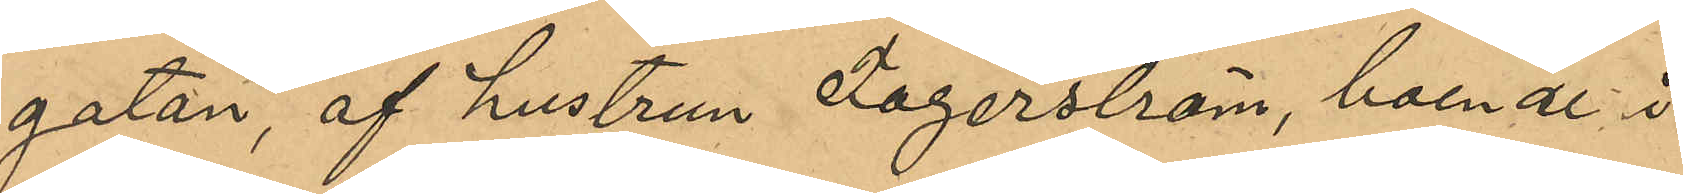gatan, af hustrun Fagerström, boende i
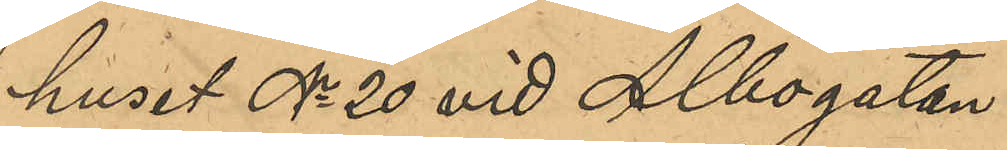huset No 20 vid Albogatan.
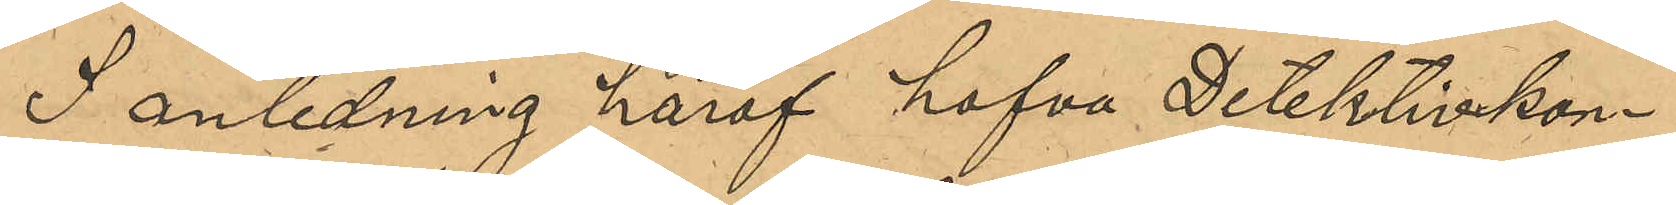I anledning häraf hafva Detektivkon¬
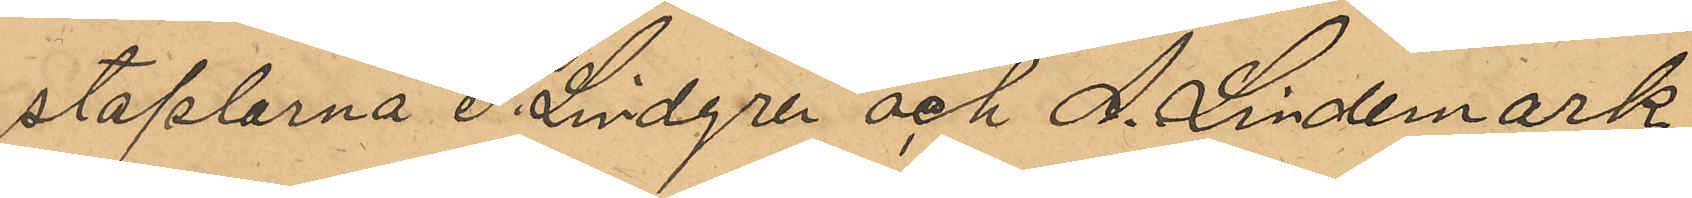staplarne P. Lindgren och A. Lindemark
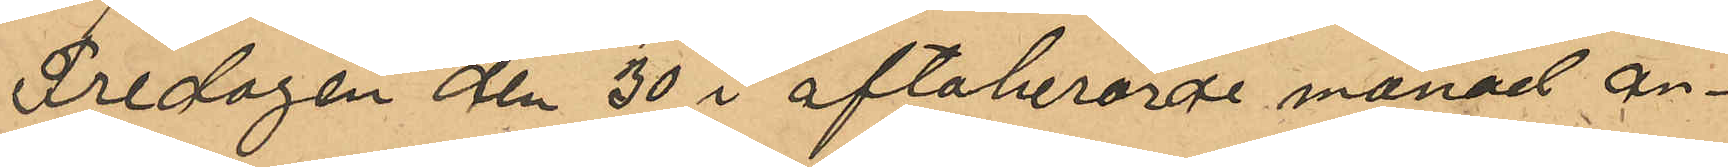Fredagen den 30 i oftaberörde månad an¬
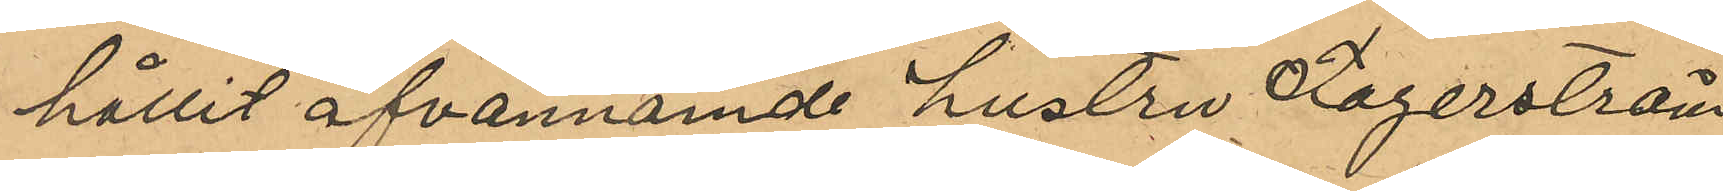hållit ofvannämnde hustrun Fagerström
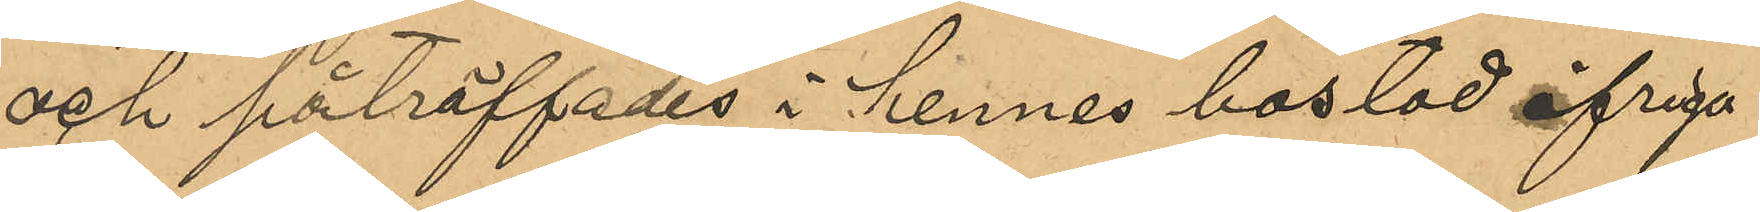och påträffades i hennes bostad öfriga
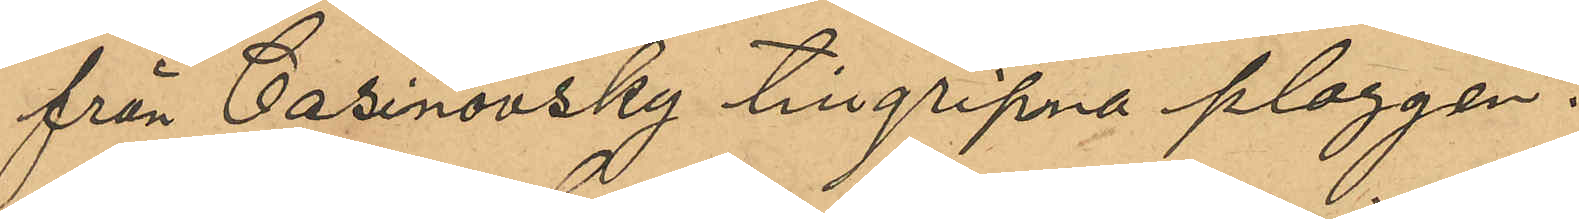från Casinovsky tillgripna plaggen.
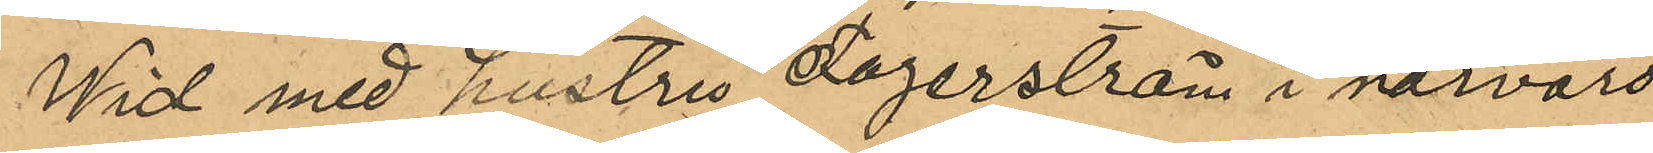Wid med hustru Fagerström i närvaro
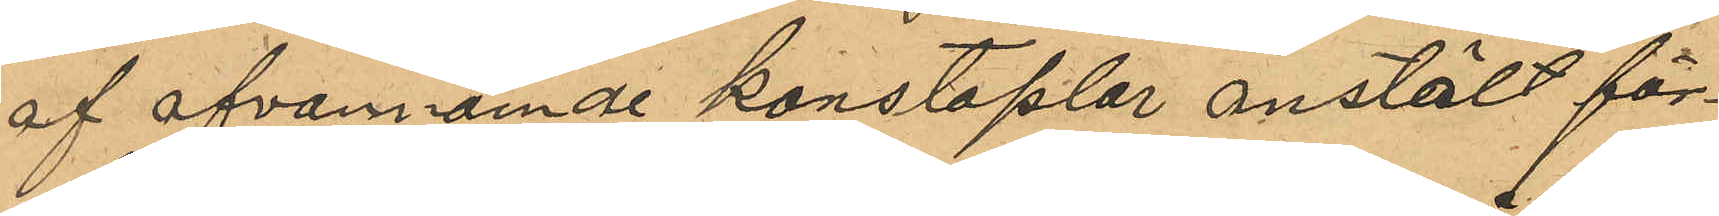af ofvannämnde konstaplar anstäldt för¬
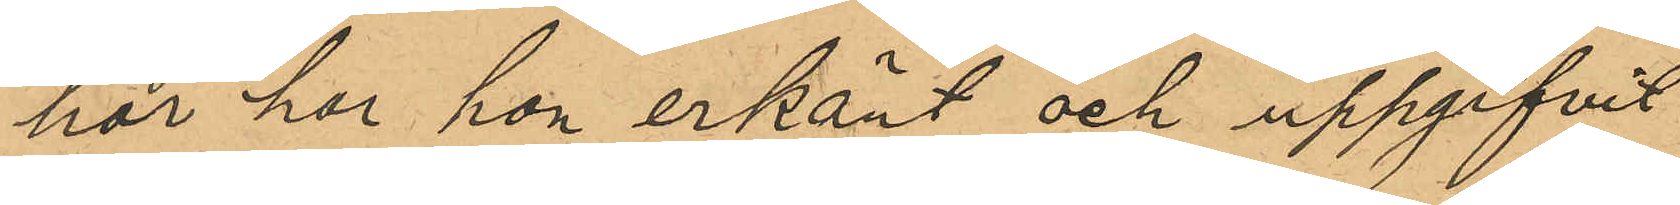hör har hon erkänt och uppgifvit
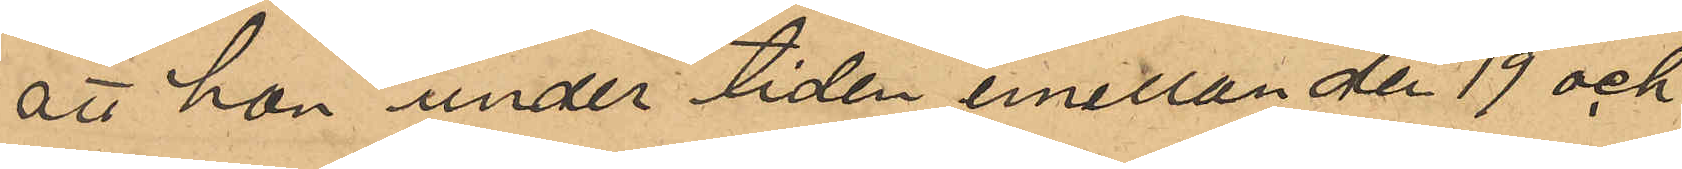att hon under tiden emellan den 19 och
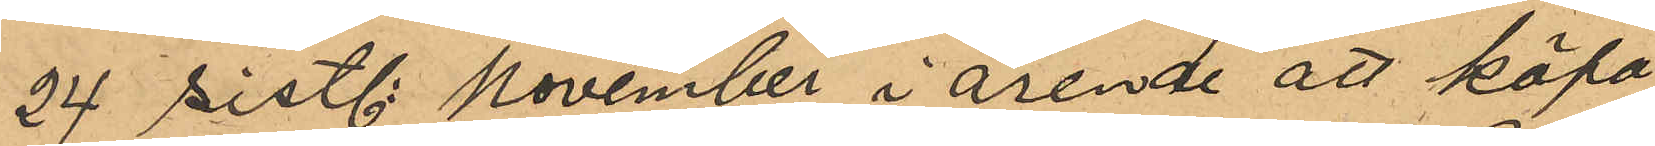24 sistl November i ärende att köpa
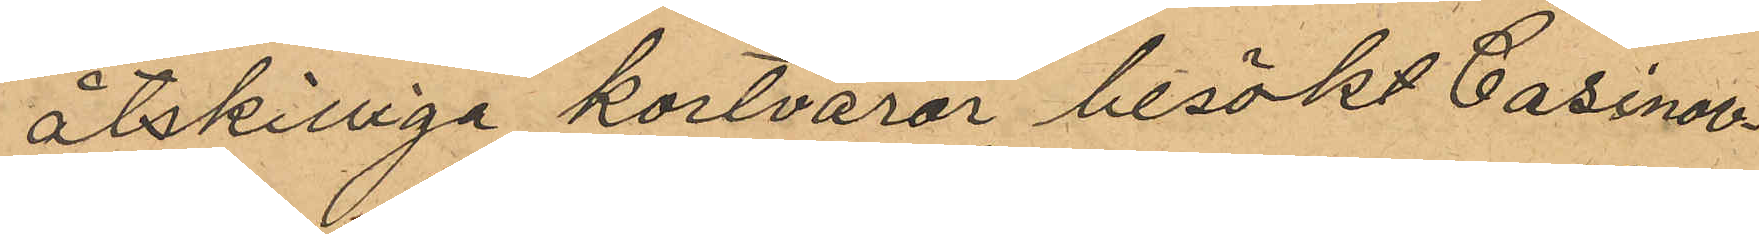åtskilliga kortvaror besökt Casinov¬
